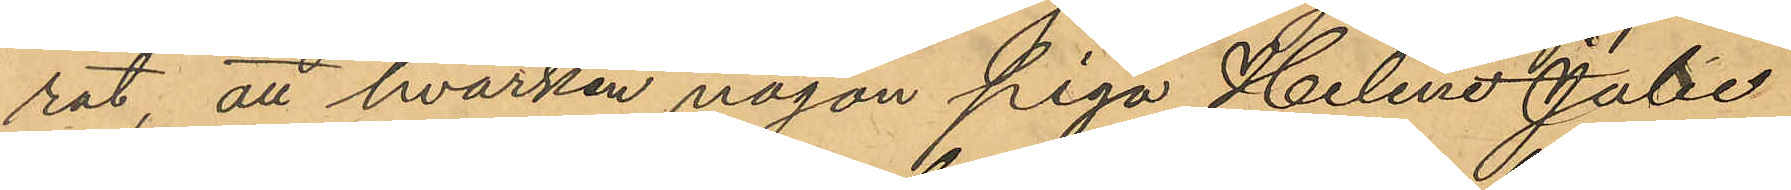rat, att hvarken någon piga Helene Julia
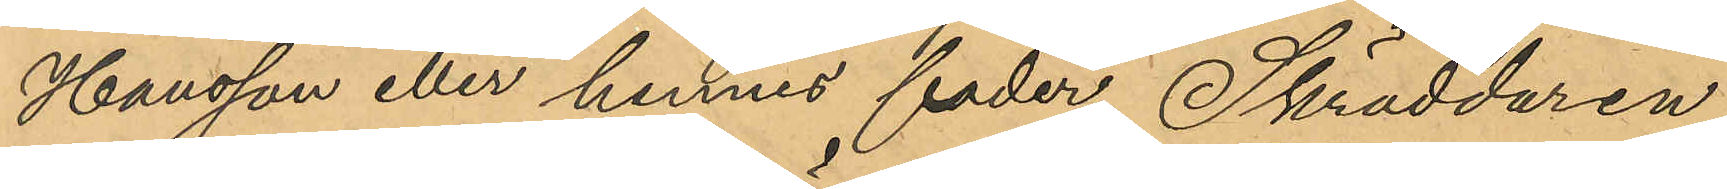Hansson eller hennes fader Skräddaren
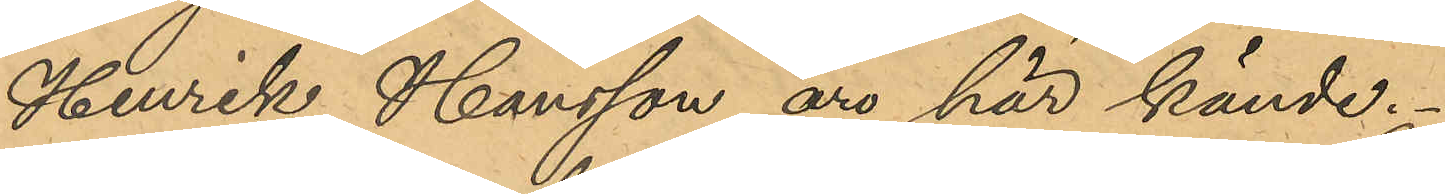Henrik Hansson äro här kände.
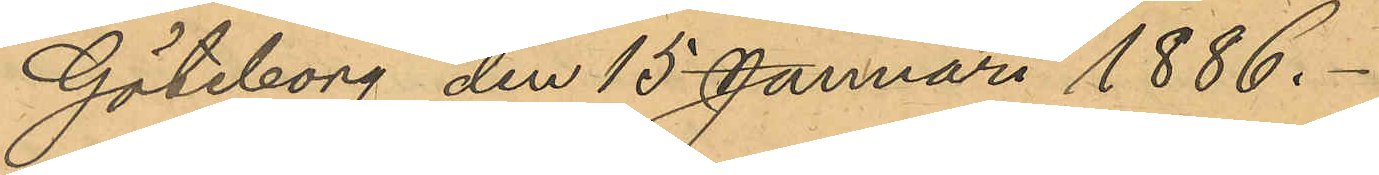Göteborg den 15 Januari 1886.
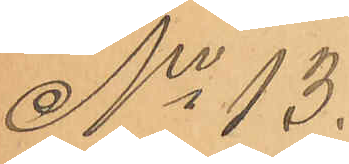No 13.
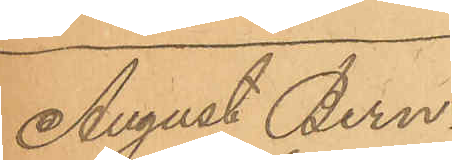August Bern¬
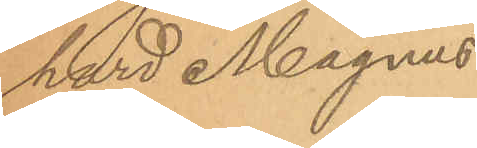hard Magnus¬
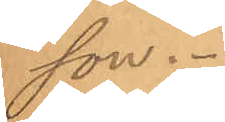son.
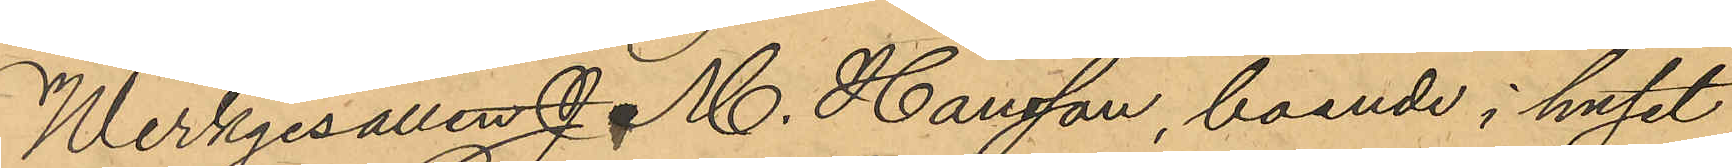Werkgesällen J. M. Hansson, boende i huset
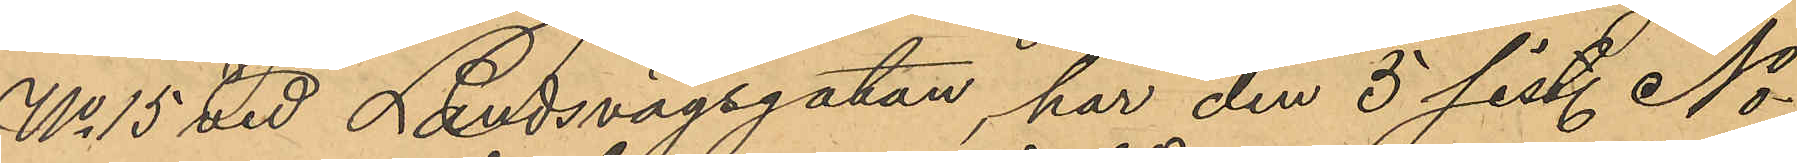No 15 vid Landsvägsgatan, har den 5 sist. No¬
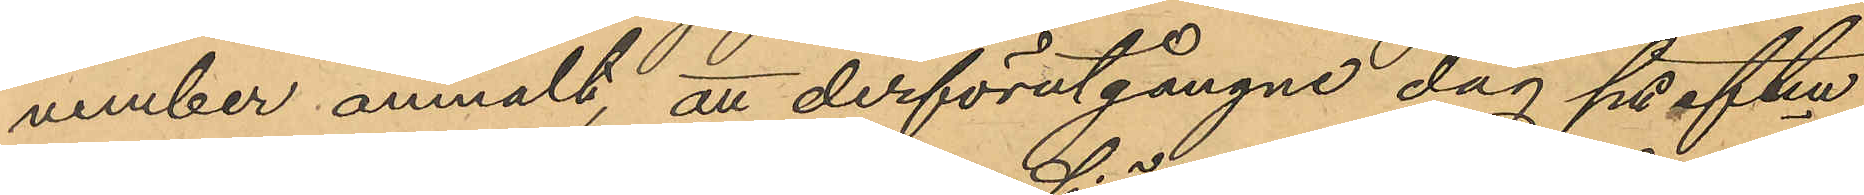vember anmält, att derförutgångne dag på eftm
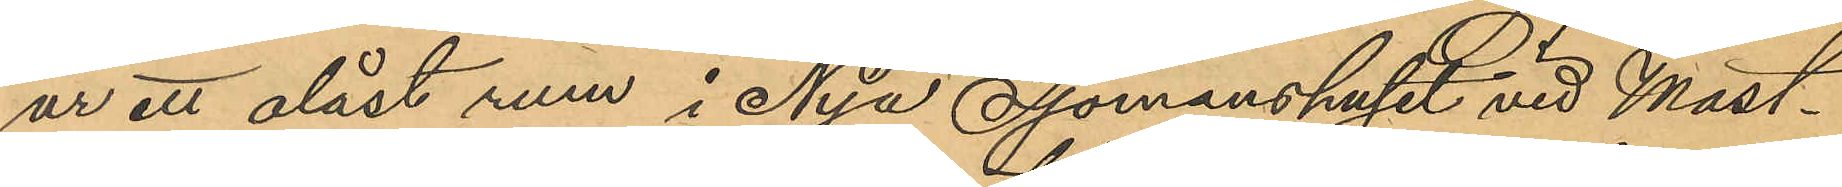ur ett olåst rum i Nya Sjömanshuset vid Mast¬
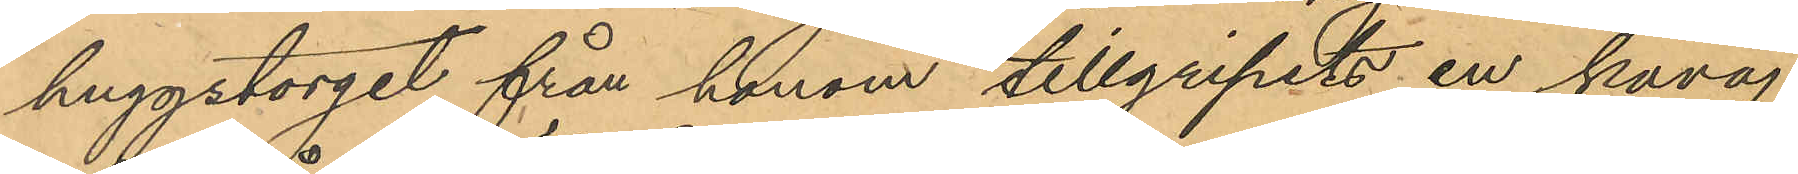huggstorget från honom tillgripits en kavaj
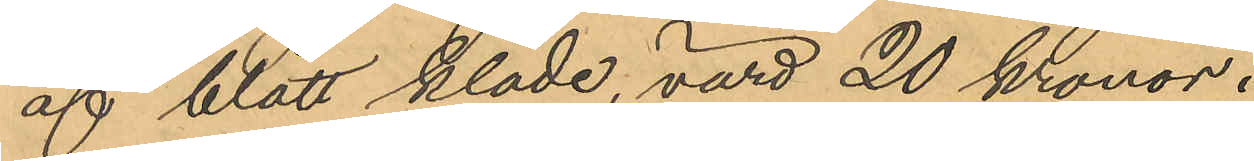af blått kläde, värd 20 Kronor.
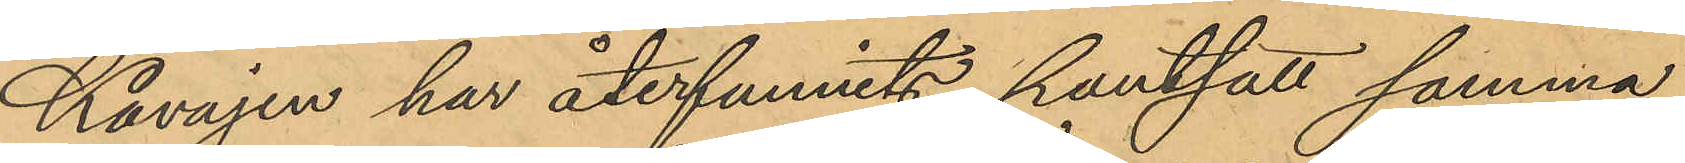Kavajen har återfunnits pantsatt samma
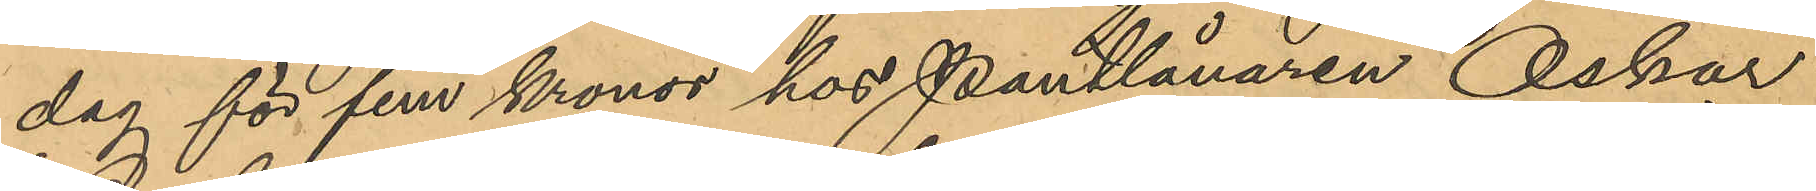dag för fem kronor hos Pantlånaren Oskar
